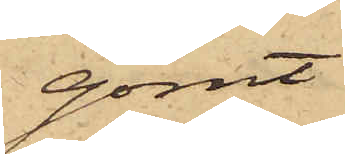gömt
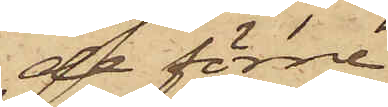de förre
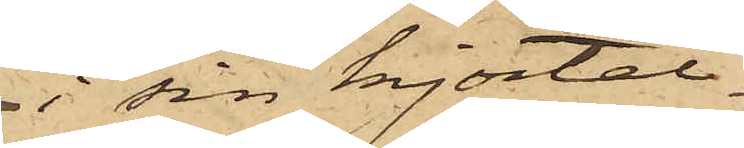i sin kjortel¬
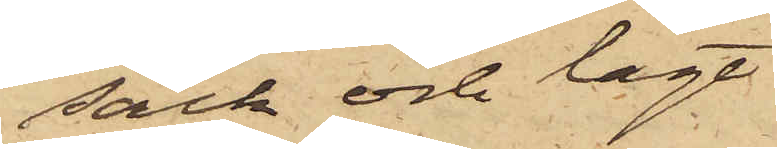säck och lagt
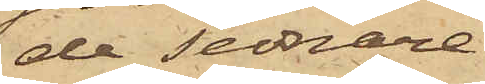de sednare
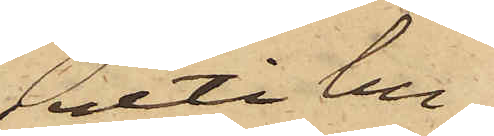uti hu¬
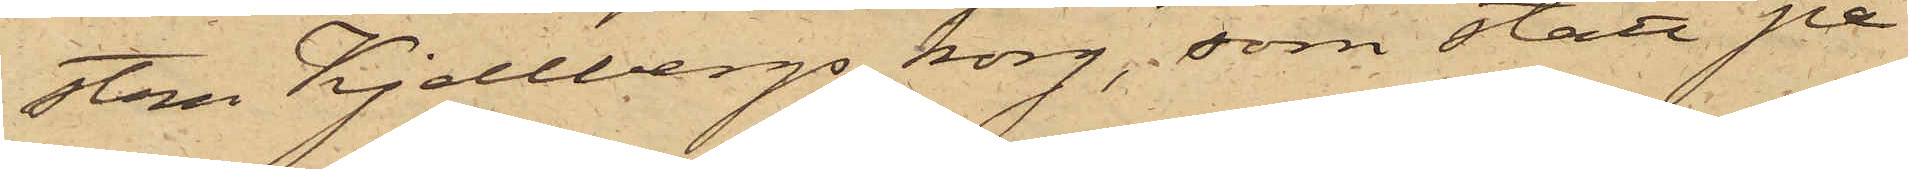stru Kjellbergs korg, som stått på
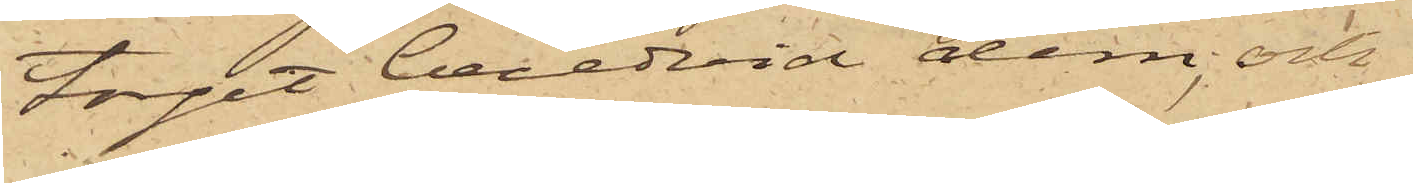toget beredvid dem, och
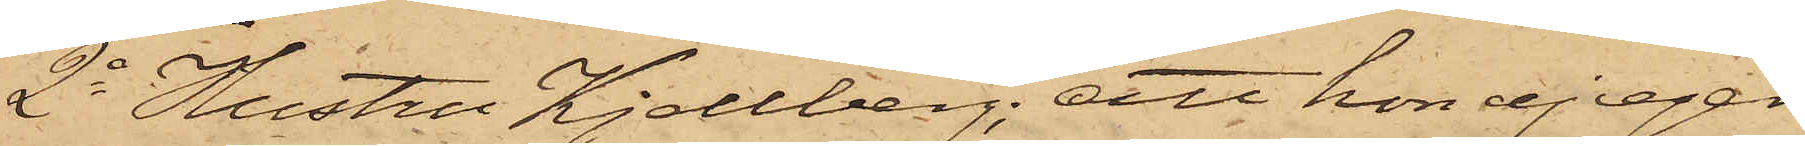2o Hustru Kjellberg; att hon ej eger
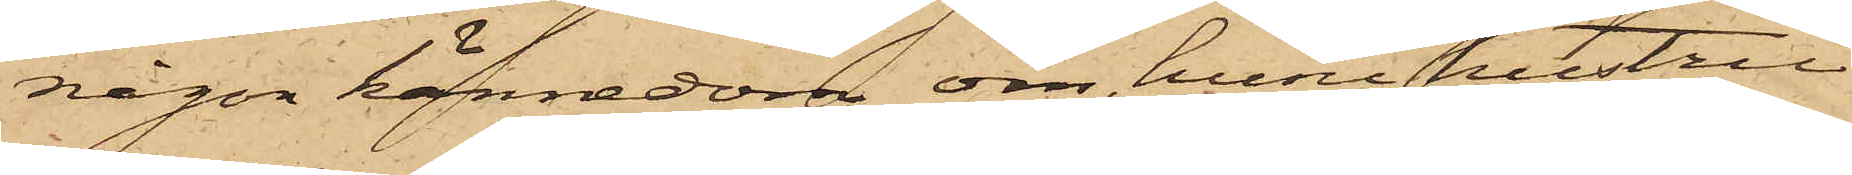någon kännedom om, huru hustru
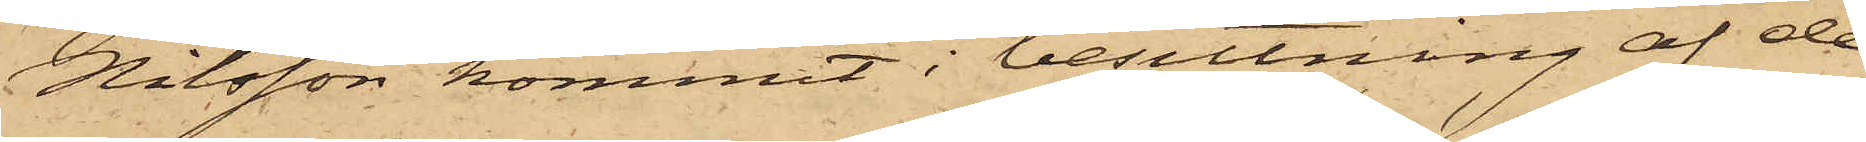Nilsson kommit i besittning af de
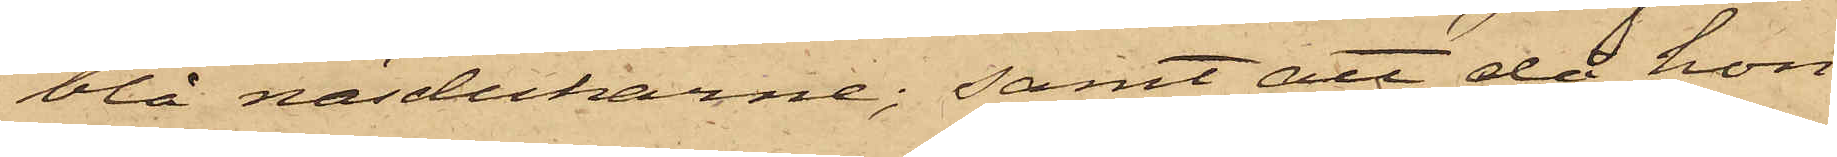blå näsdukarne; samt att då hon
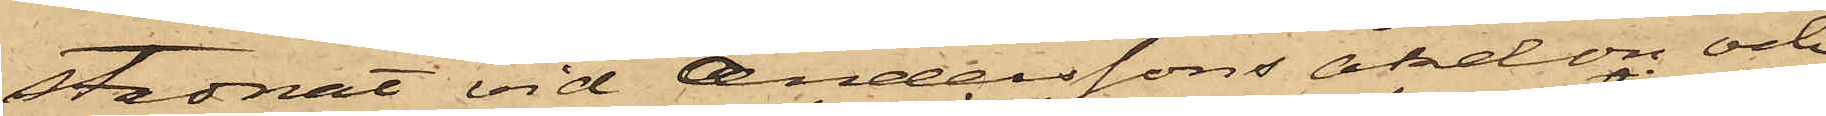stadnat vid Anderssons åkdon och
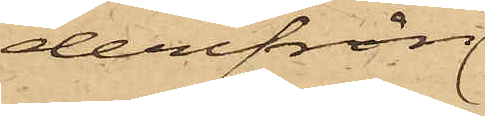derifrån
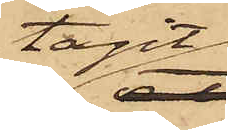tagit
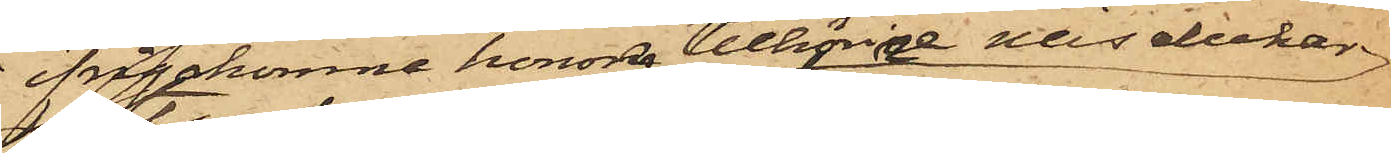ifrågakomne honom tillhörige näsdukar
